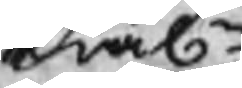skiäln
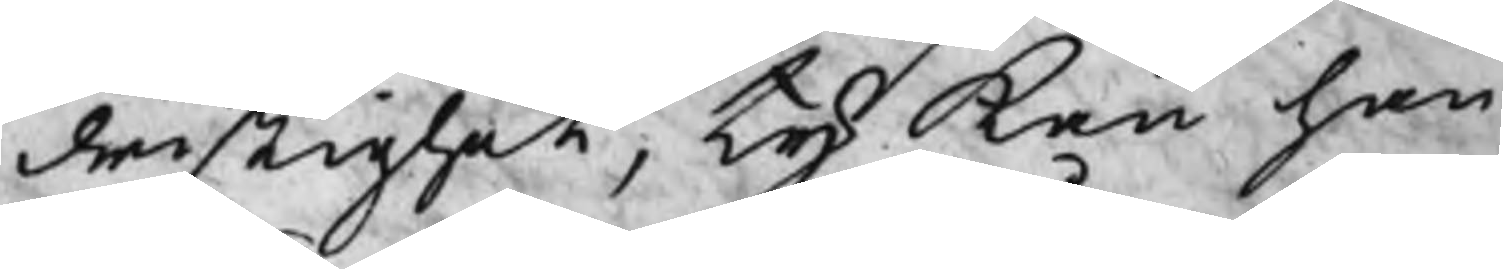dristighet, ty kan han
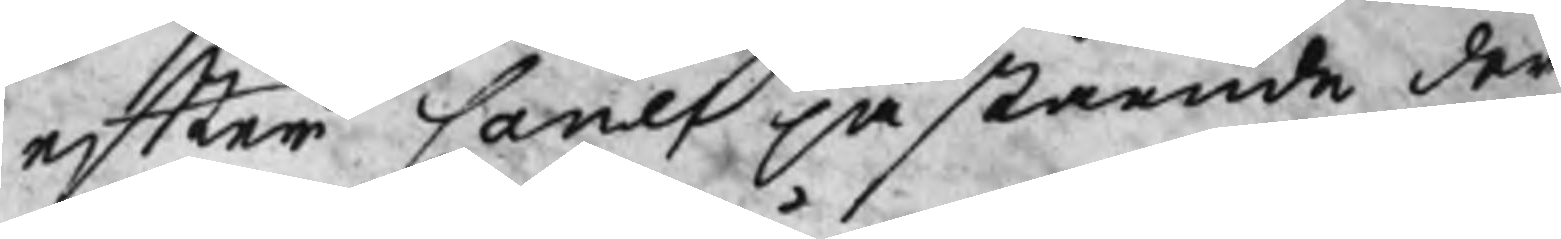efter Canes påstående der
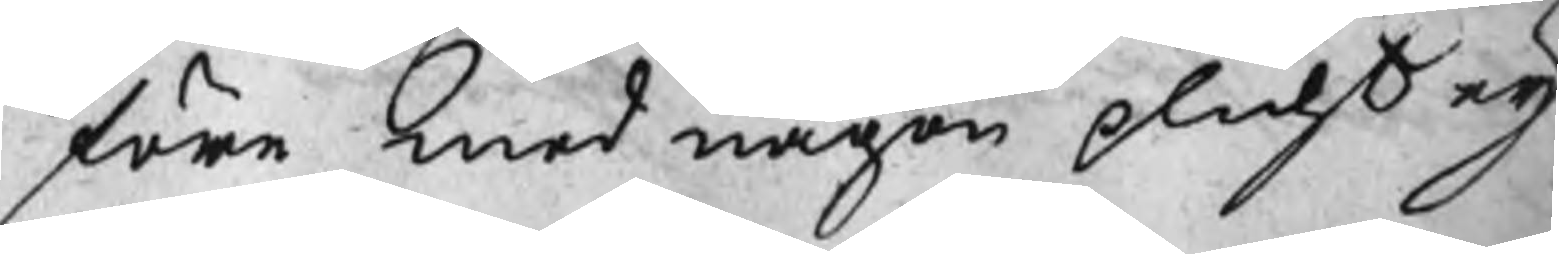före med någon plicht eij
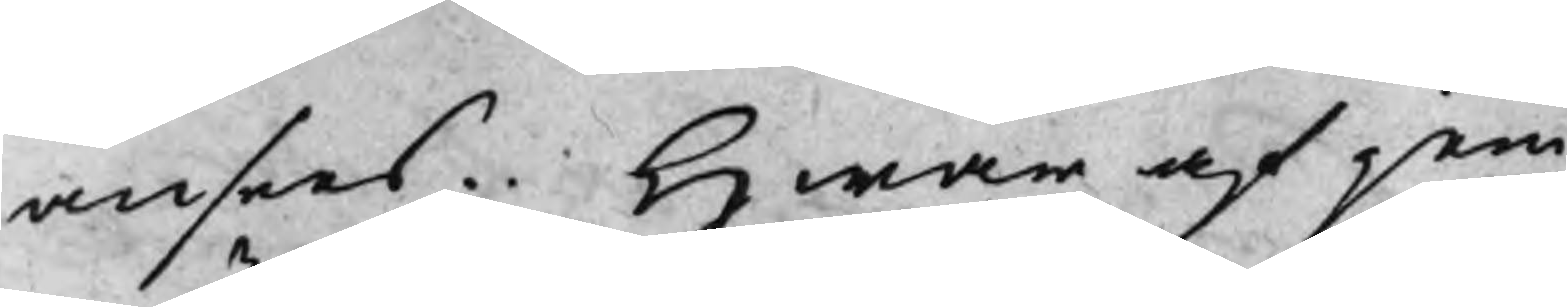ansees. Hwar af jem
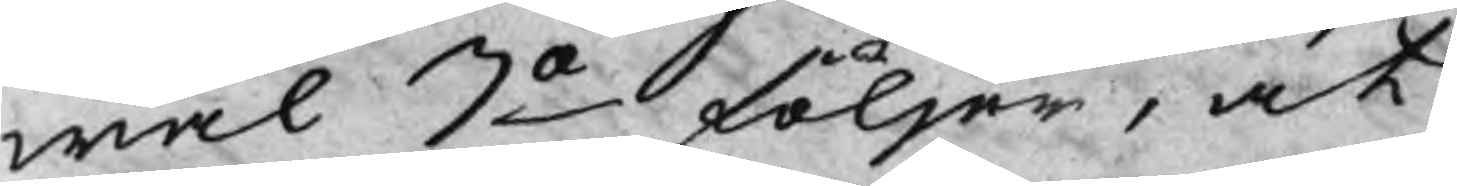wäl 3o följer, at
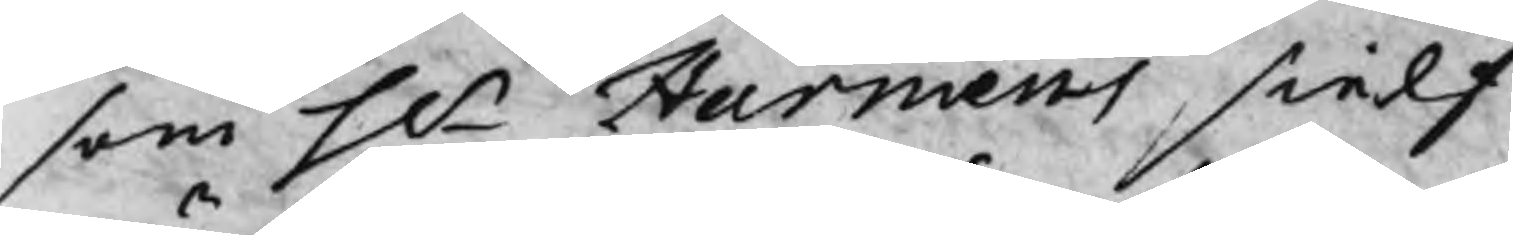som Hr Harmens sielf
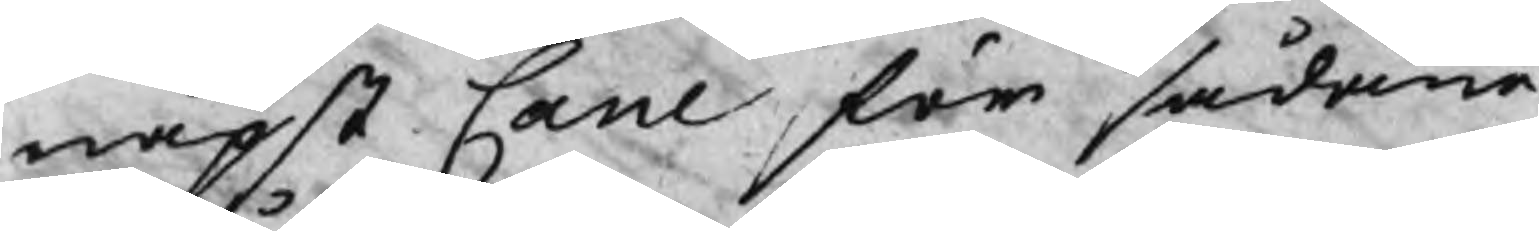näpst Cane för sådane
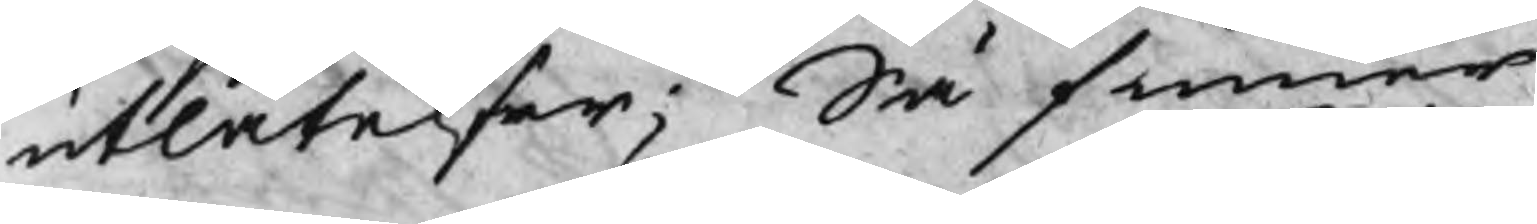utlåtelser; Så finner
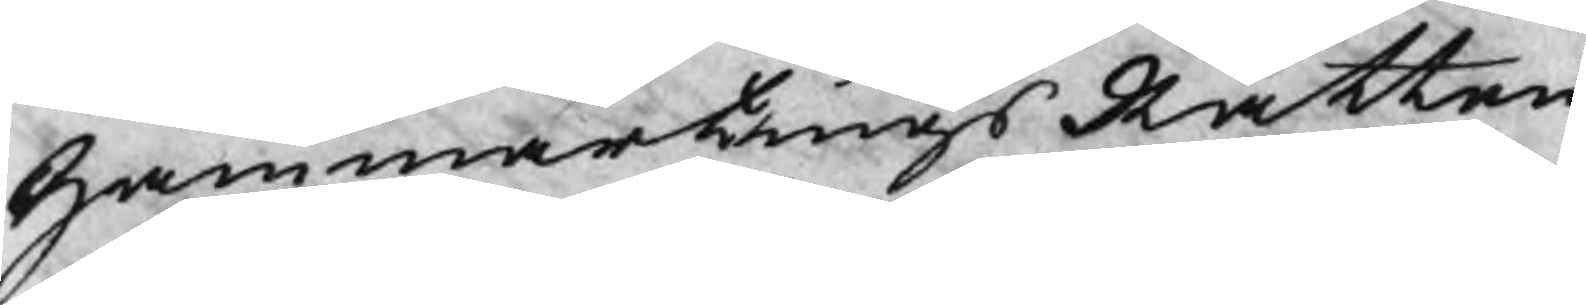HammartingsRätten
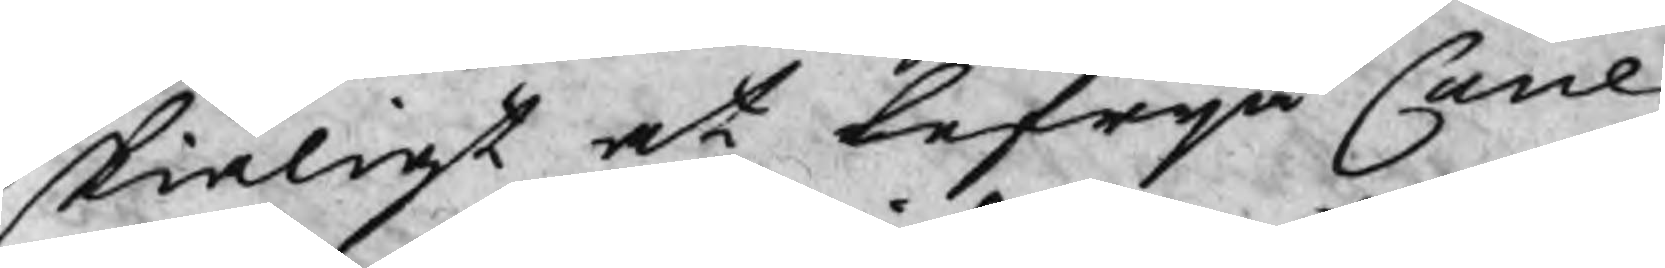skiäligt at befrija Cane
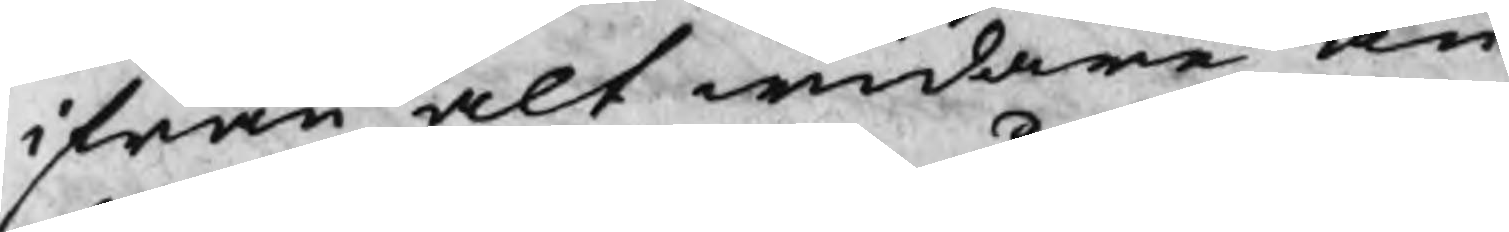ifrån alt widare an
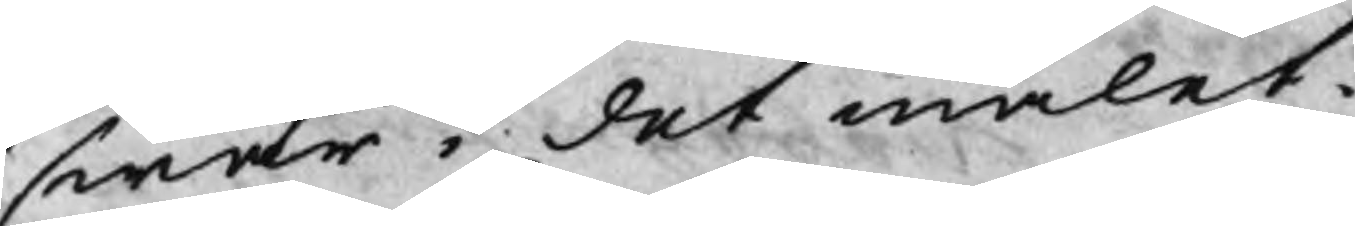swar i det målet.
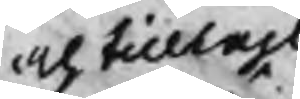och tilltahl
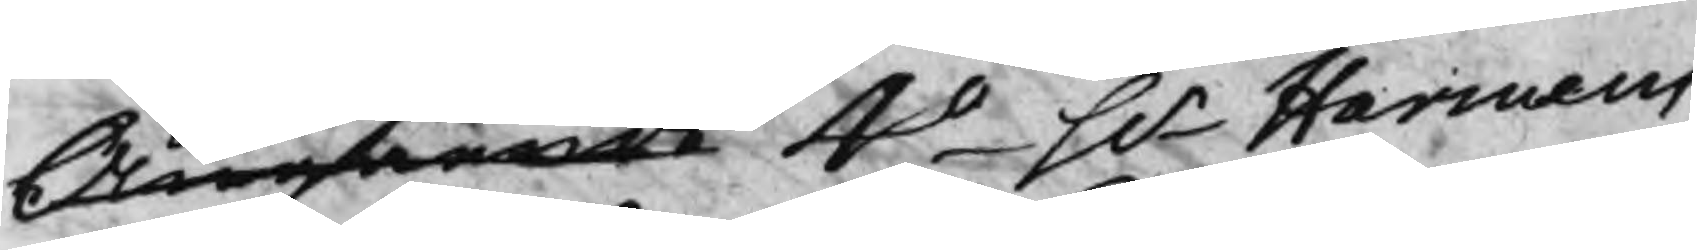Angående 4o Hr Harmens
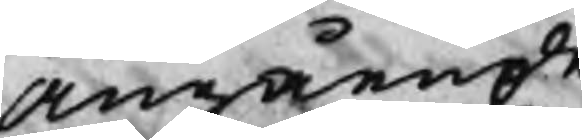Angående
